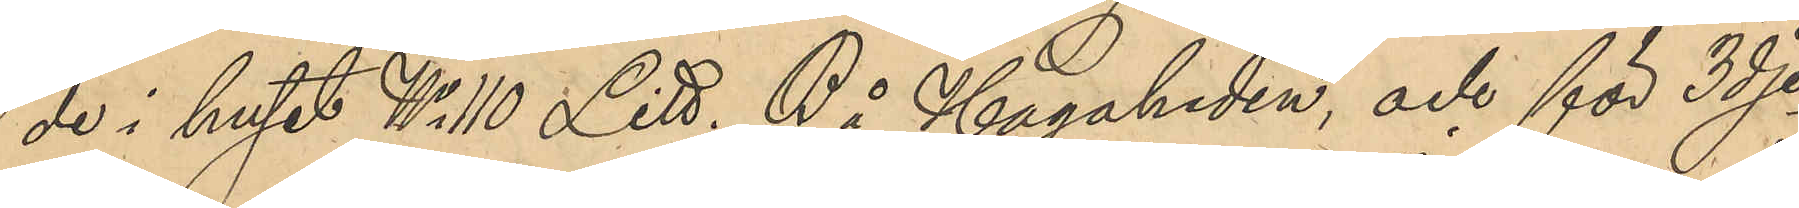de i huset No 110 Litt. B å Hagaheden, och för 3dje
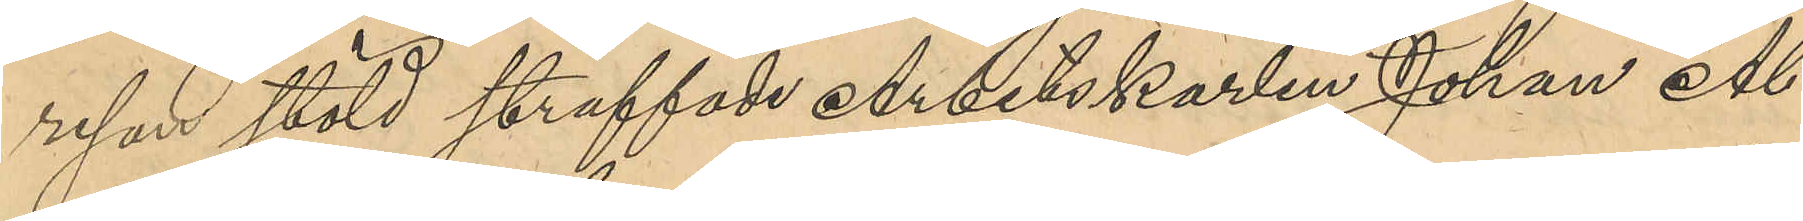resan stöld straffade Arbetskarlen Johan Al¬
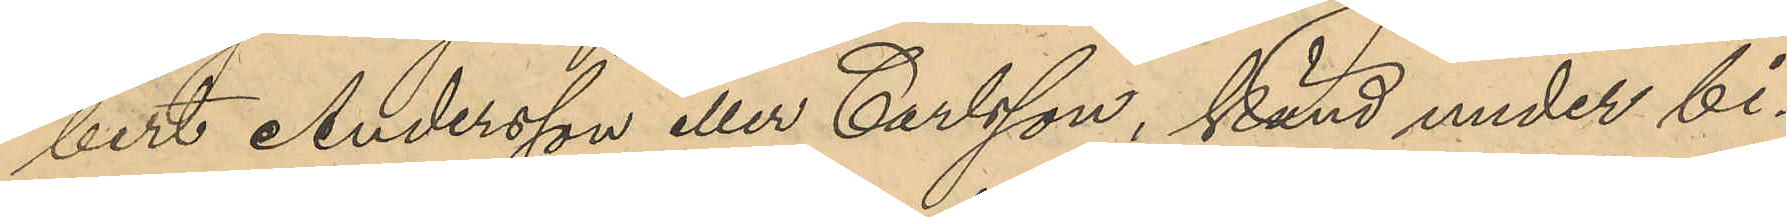bert Andersson eller Carlsson, känd under bi¬
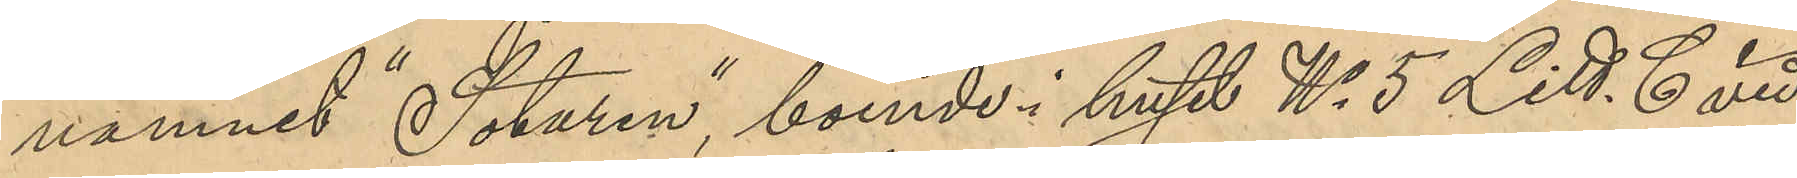namnet "Sotaren", boende i huset No 5 Litt. C vid
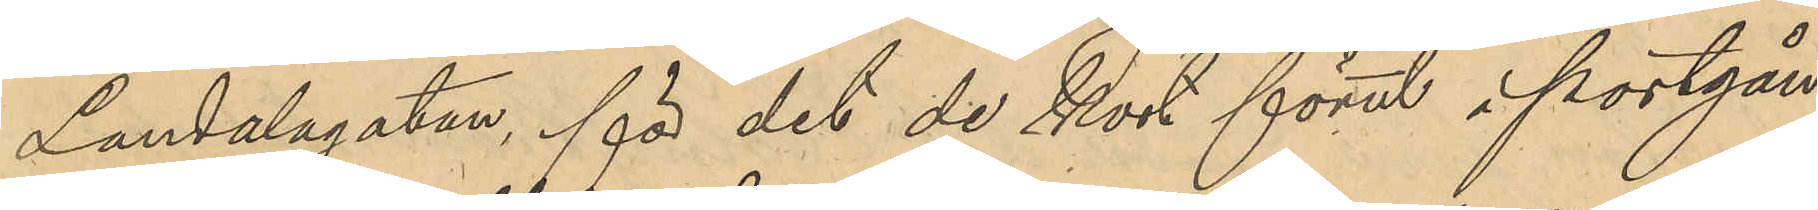Landalagatan, för det de kort förut i portgå¬
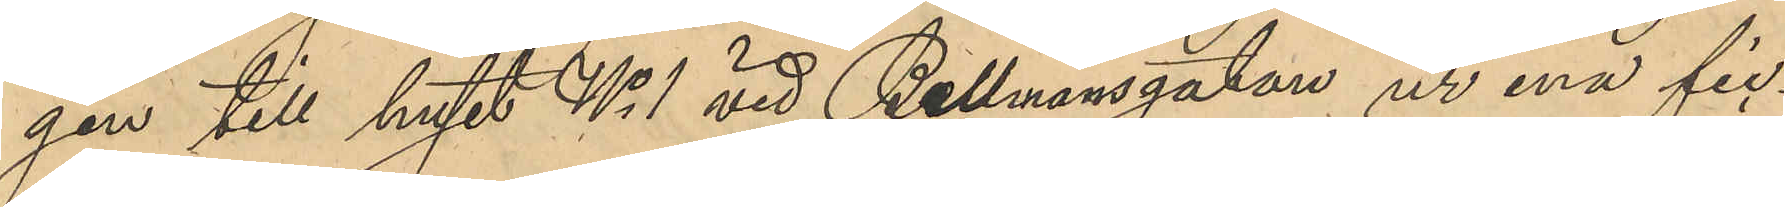gen till huset No 1 vid Bellmansgatan ur ena fic¬
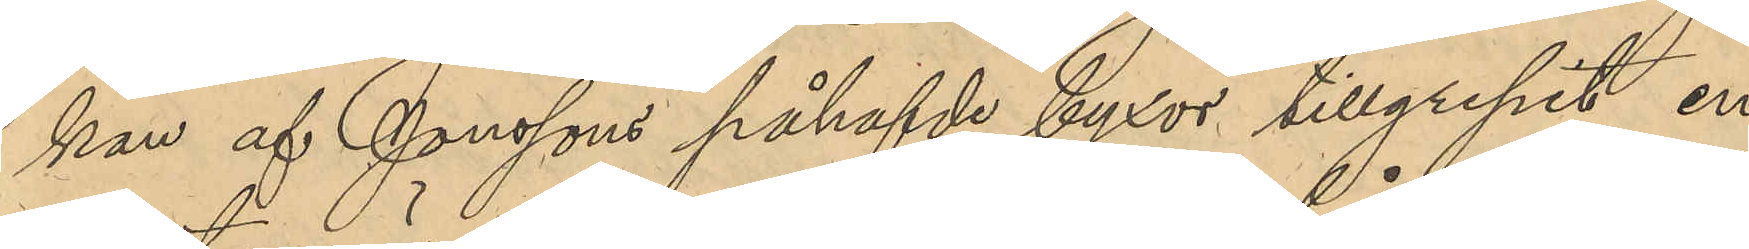kan af Jonssons påhafde byxor tillgripit en
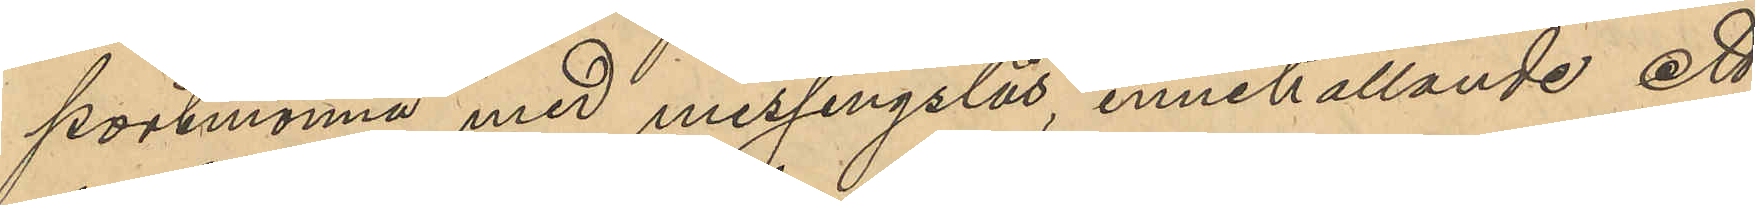portmonnä med messingslås, innehållande ett
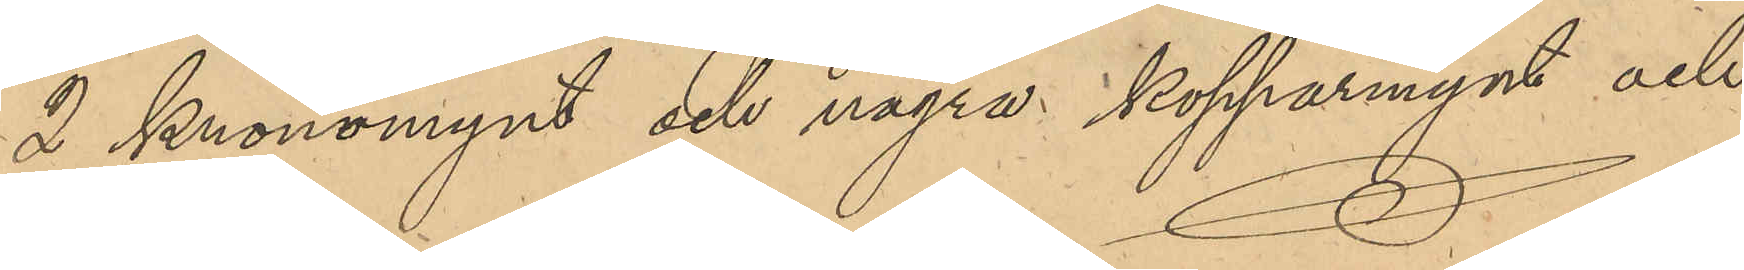2 Kronomynt och några kopparmynt och
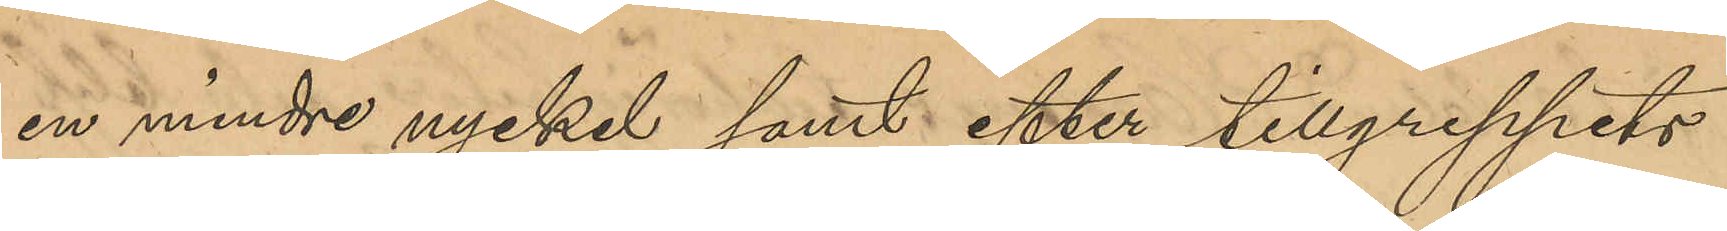en mindre nyckel samt efter tillgreppets
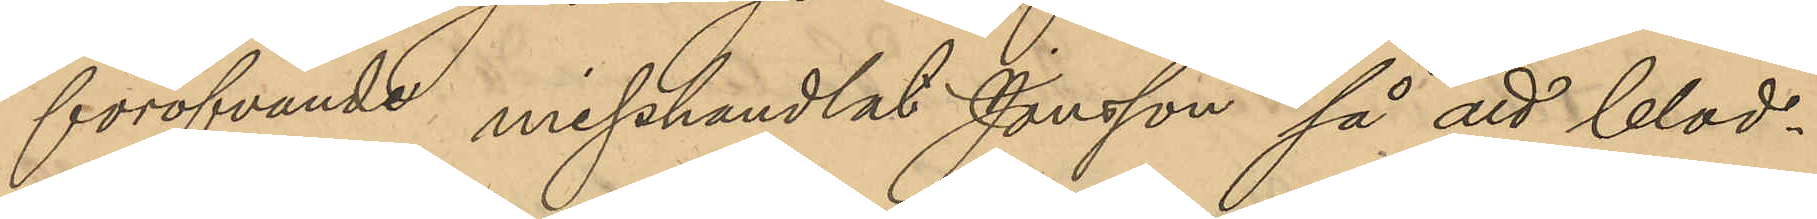föröfvande misshandlat Jonsson så att blod¬
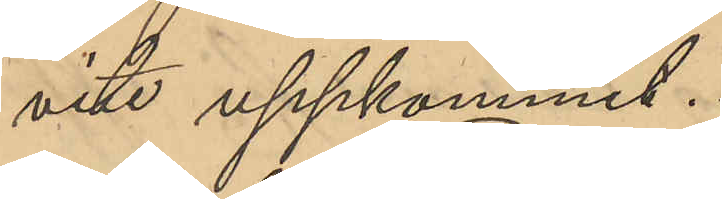vite uppkommit.
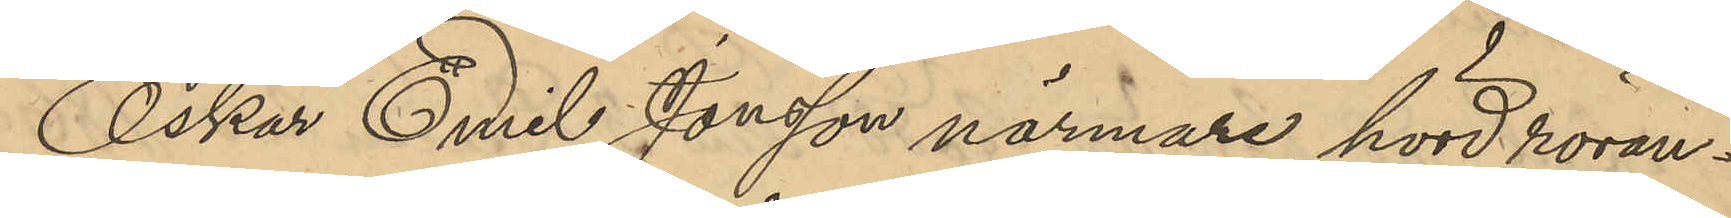Oskar Emil Jonsson närmare hörd röran¬
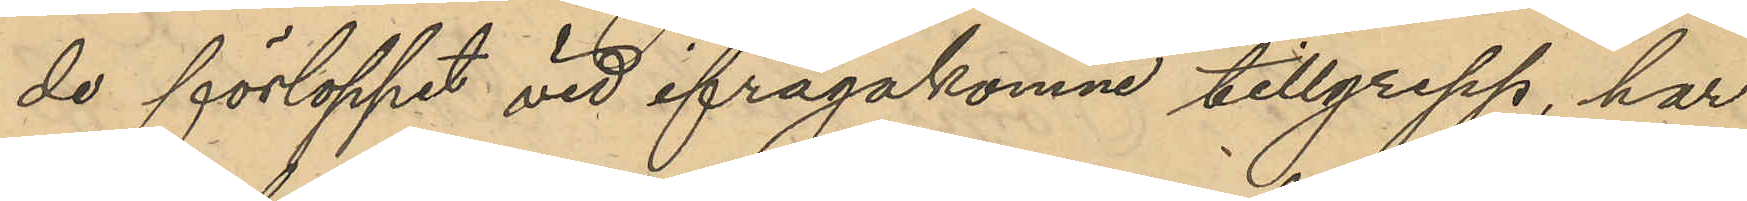de förloppet vid ifrågakomne tillgrepp, har
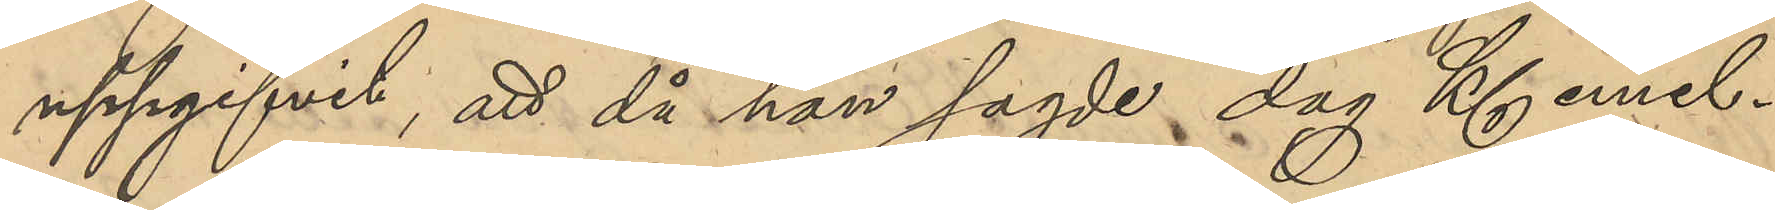uppgifvit; att då han sagde dag Kl emel¬
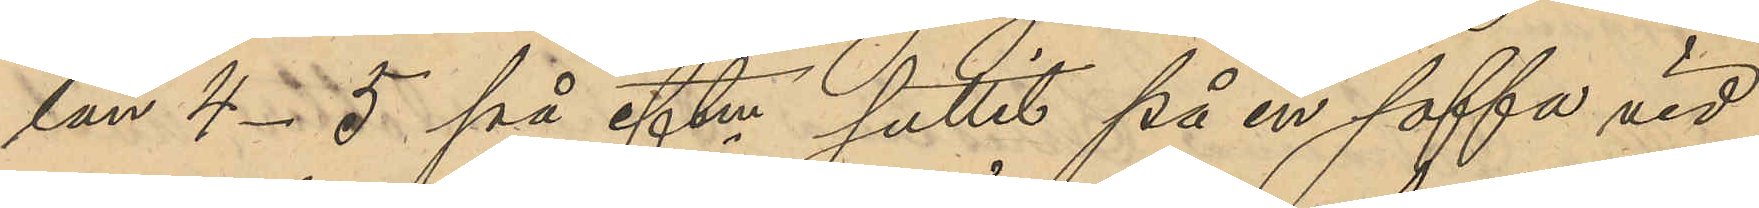lan 4-5 på eftm suttit på en soffa vid
